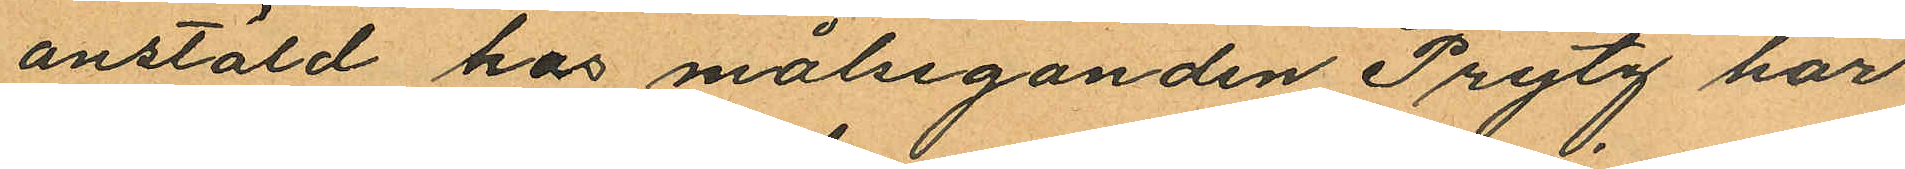anstäld hos målseganden Prytz har
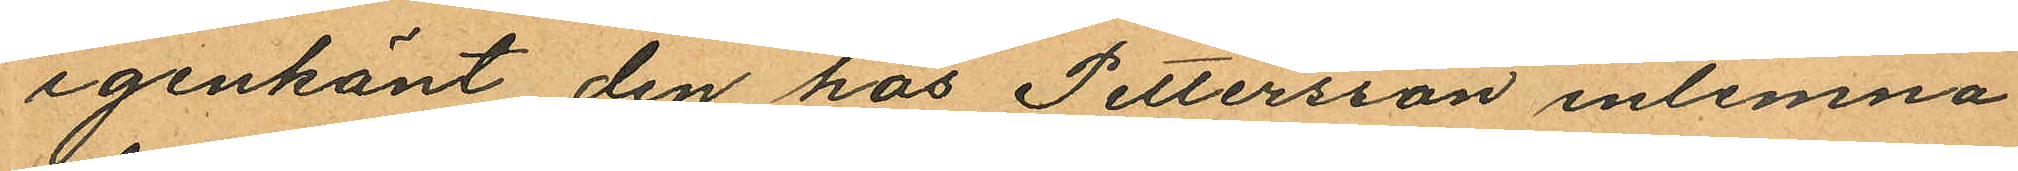igenkänt den hos Pettersson inlemna
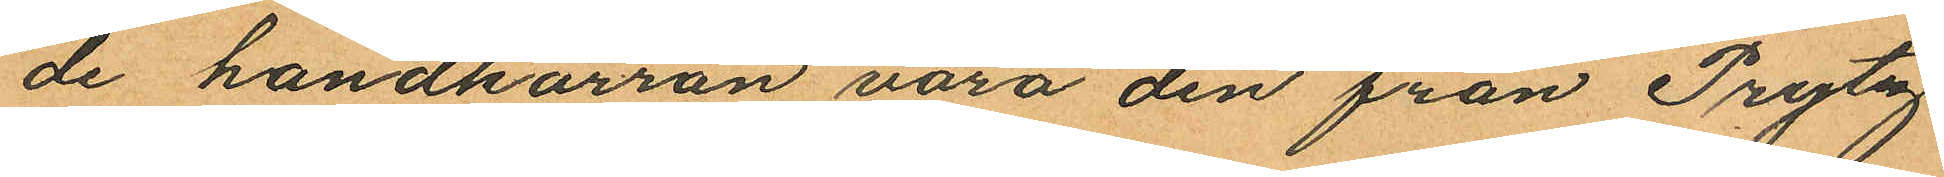de handkärran vara den från Prytz
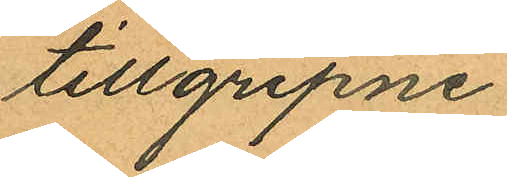tillgripne.
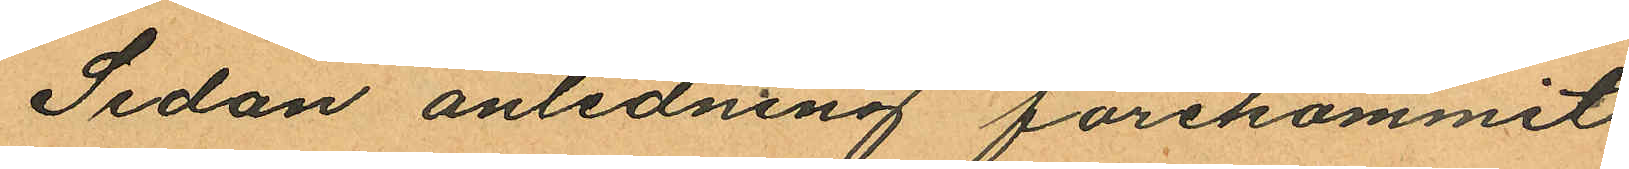Sedan anledning förekommit
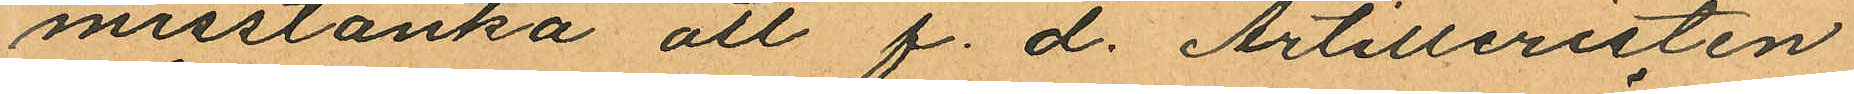misstänka att f. d. Artilleristen
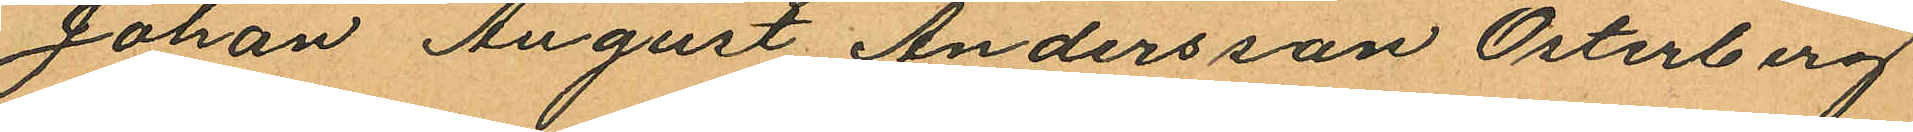Johan August Andersson Österberg
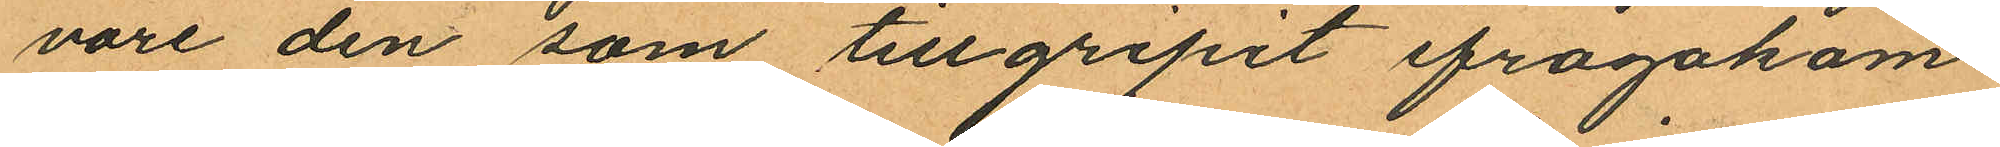vore den som tillgripit ifrågakom
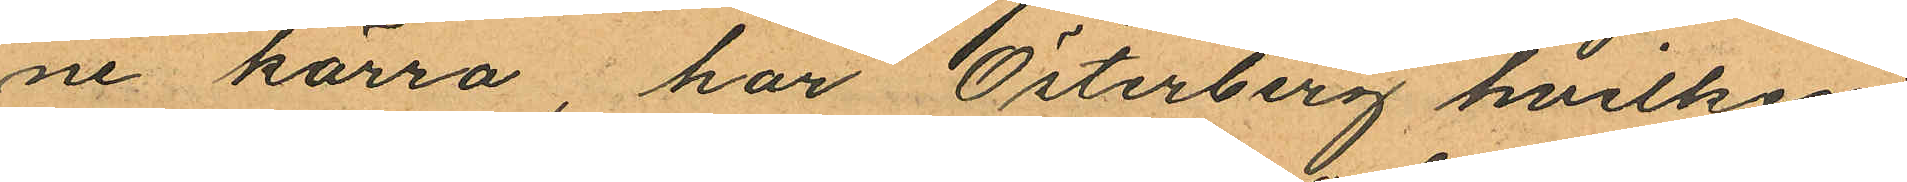ne kärra, har Österberg hvilken
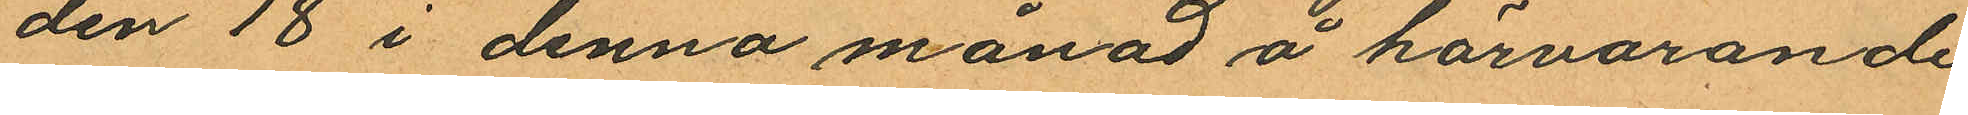den 18 i denna månad å härvarande
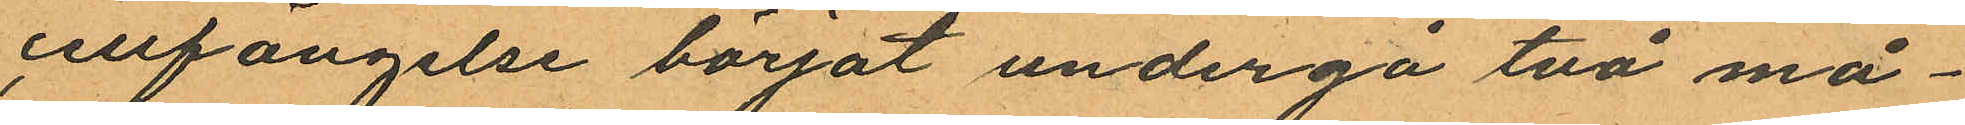cellfängelse börjat undergå två må¬
